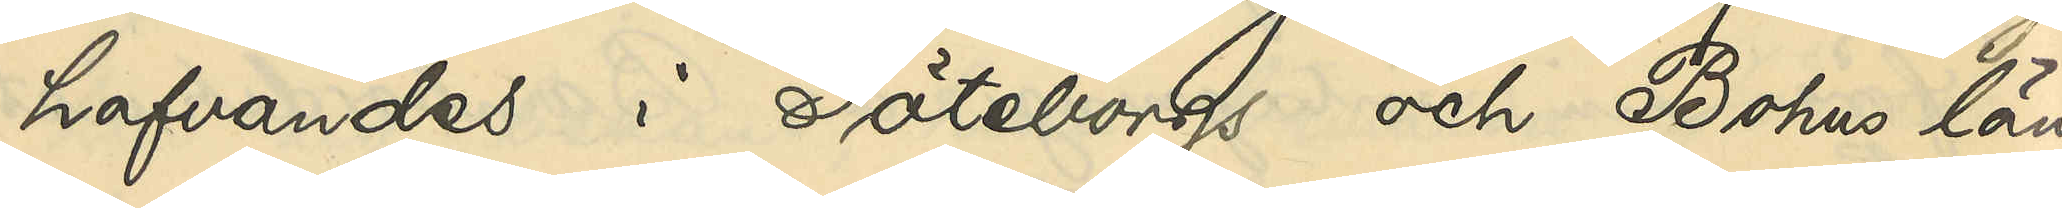hafvandes i Göteborgs och Bohus län
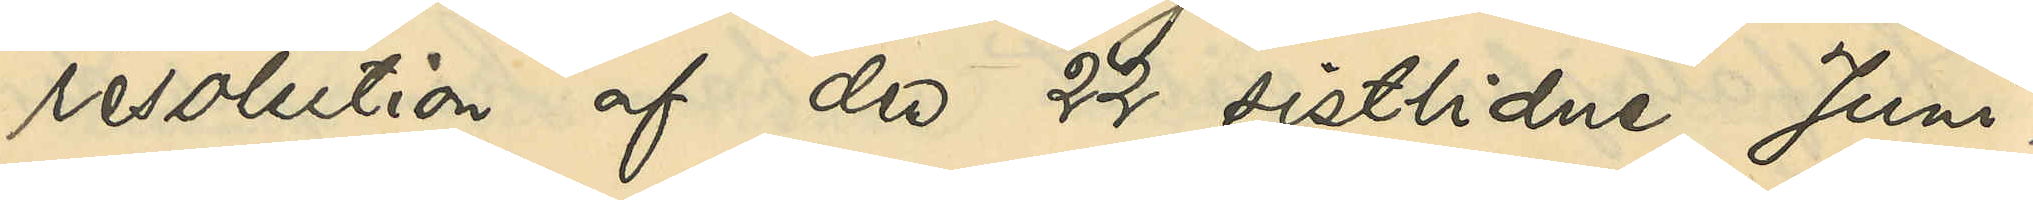resolution af den 22 sistlidne Juni,
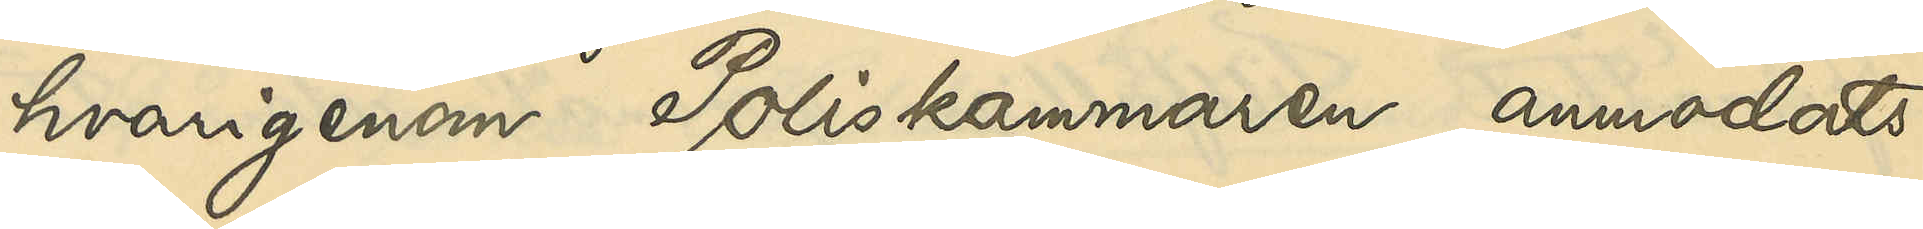hvarigenom Poliskammaren anmodats
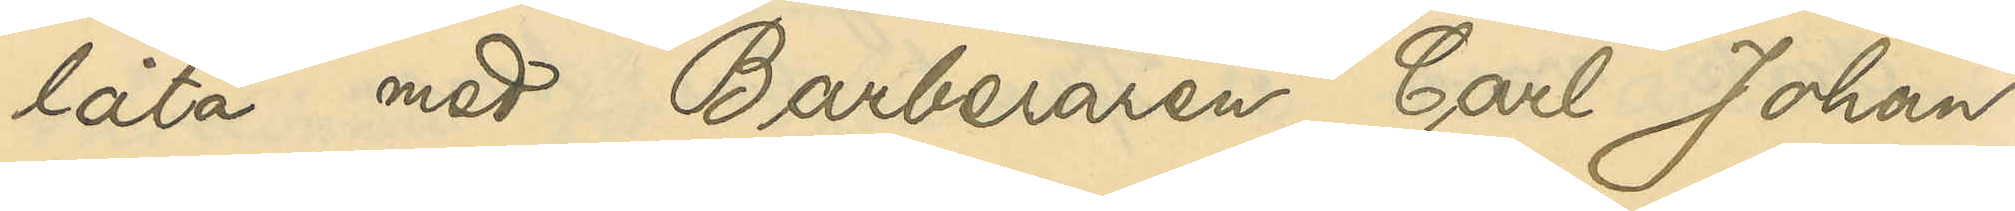låta med Barberaren Carl Johan
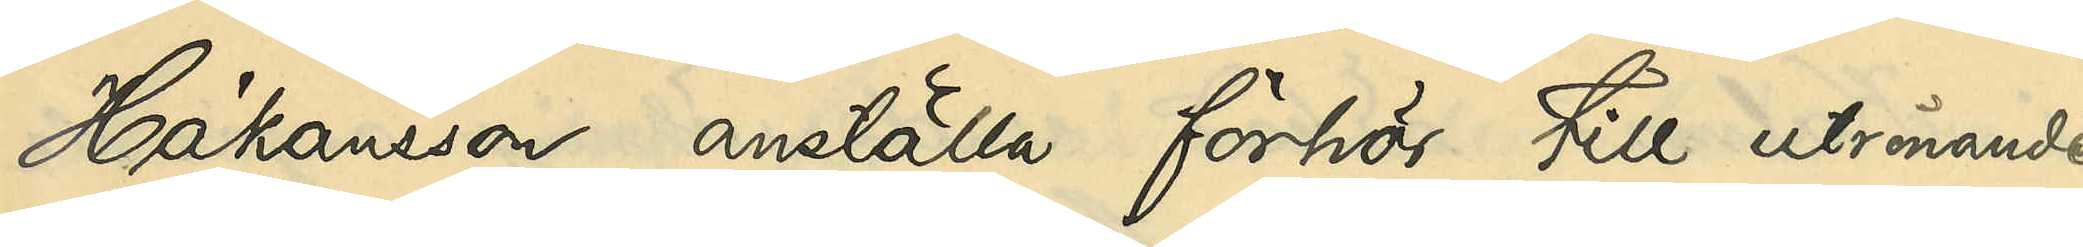Håkansson anställa förhör till utrönande
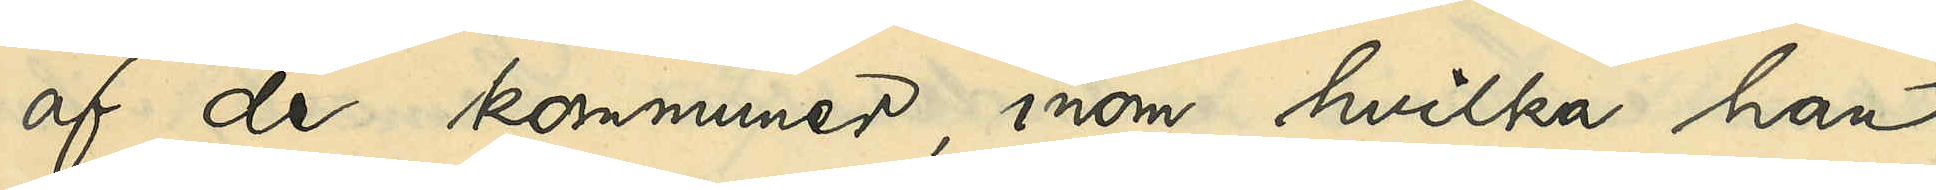af de kommuner, inom hvilka han
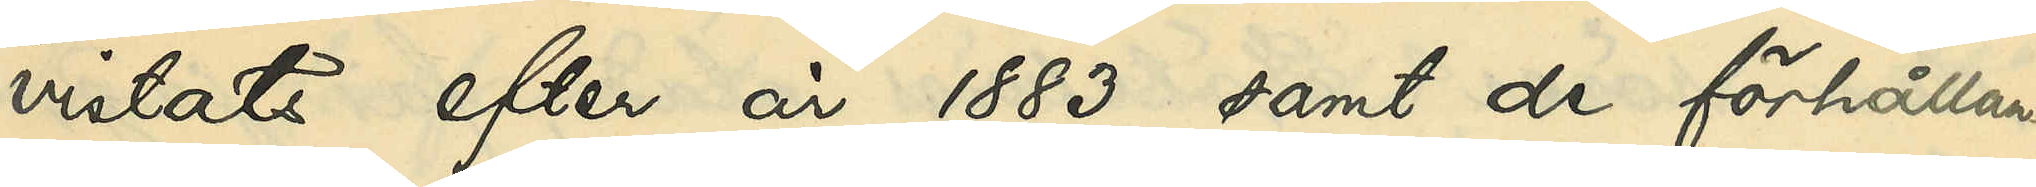vistats efter 1883 samt de förhållan¬
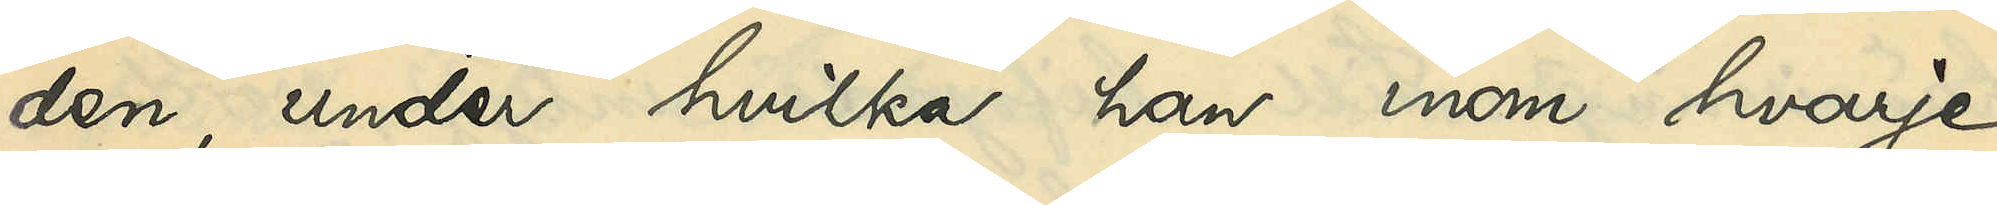den, under hvilka han inom hvarje
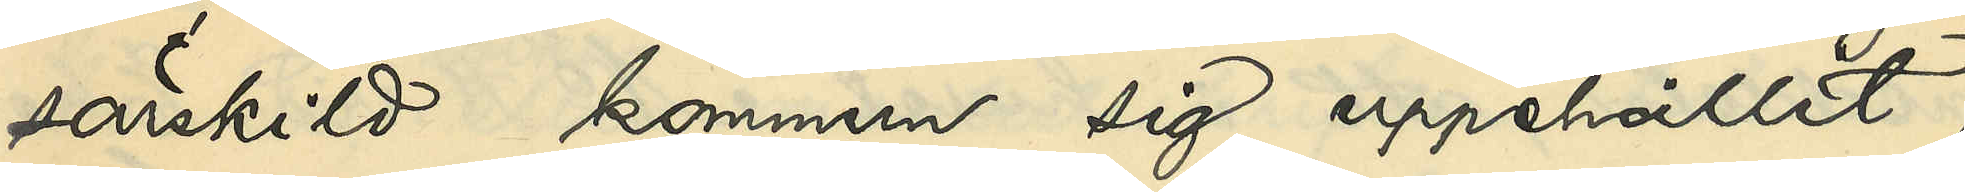särskild kommun sig uppehållit,
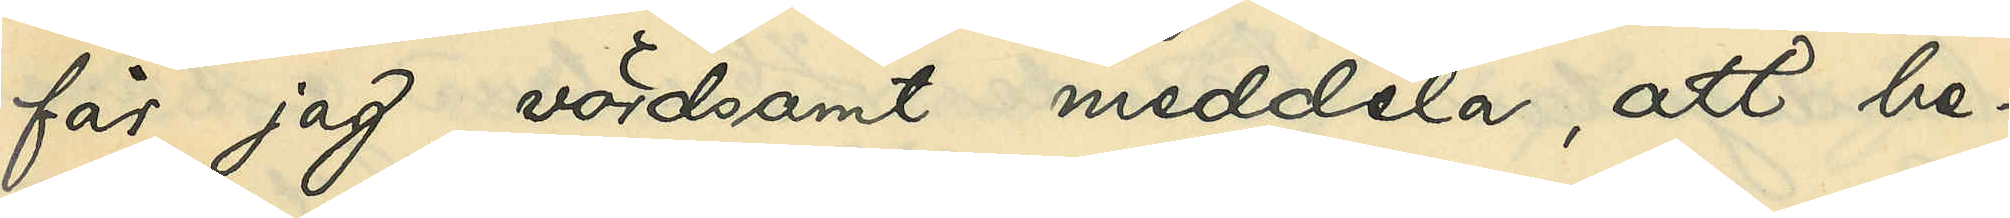får jag vördsamt meddela, att be¬
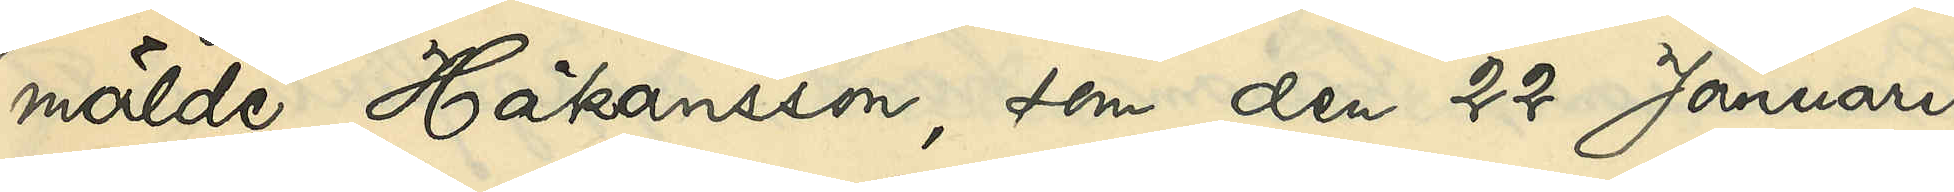mälde Håkanson, som den 22 Januari
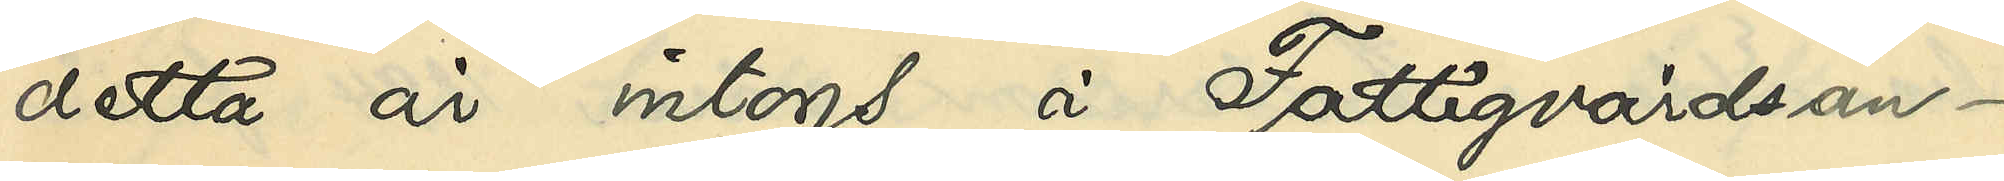detta år intogs å Fattigvårdsan¬
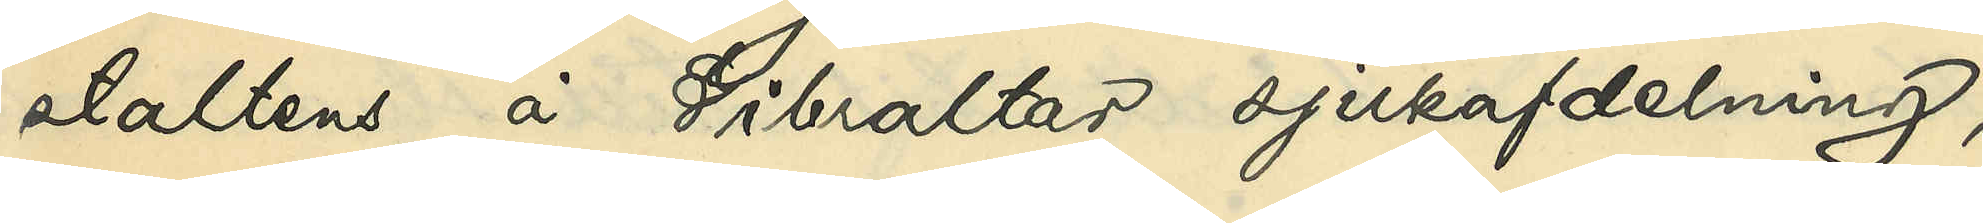staltens å Gibraltar sjukafdelning,
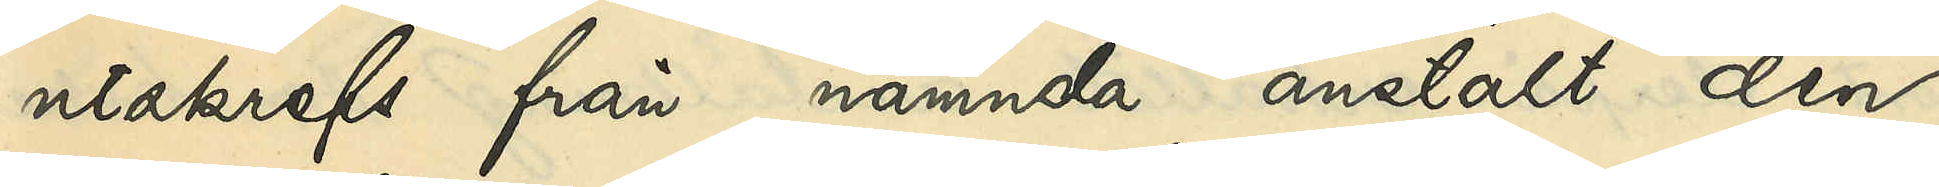utskrefs från nämnda anstalt den
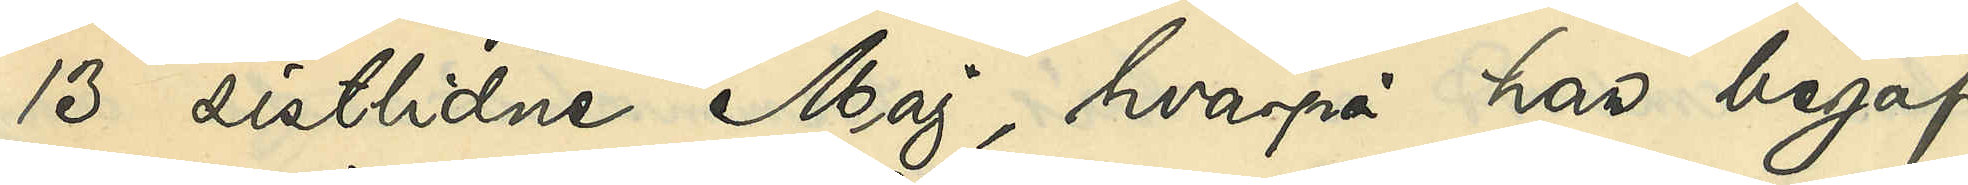13 sistlidne Maj, hvarpå han begaf
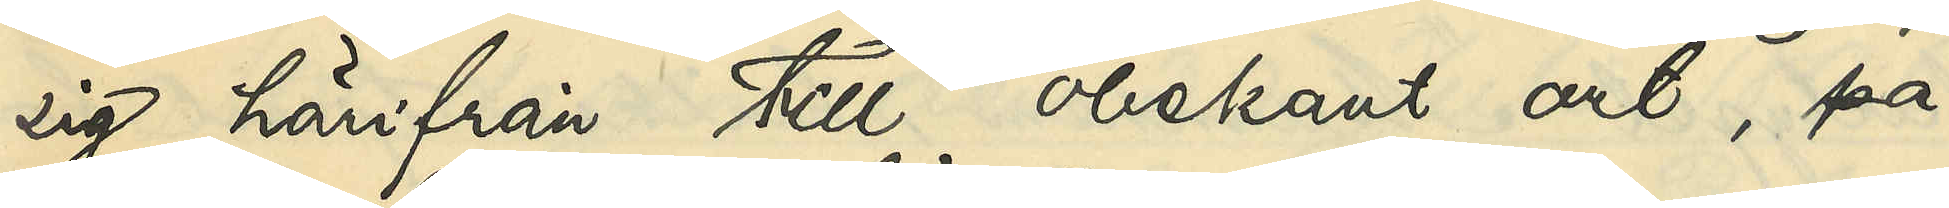sig härifrån till obekant ort, på
